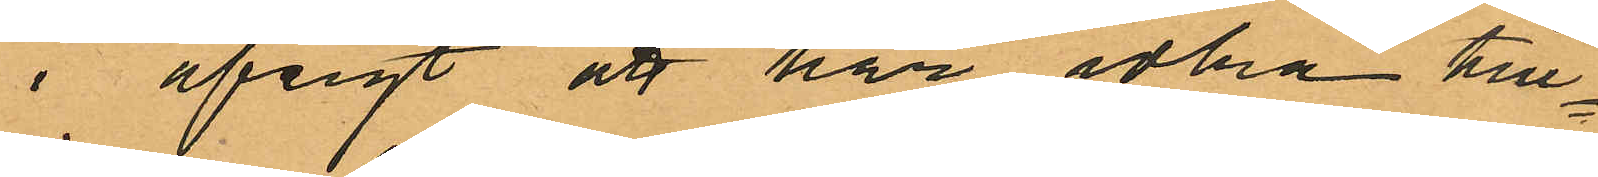i afsigt att här idka till¬
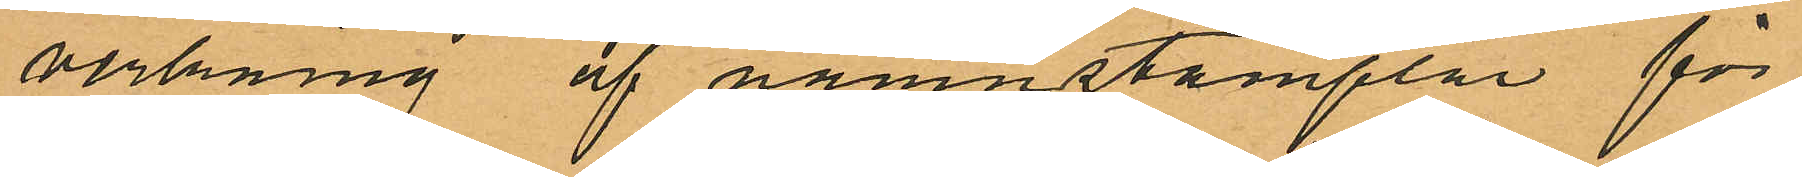verkning af namnstämplar för
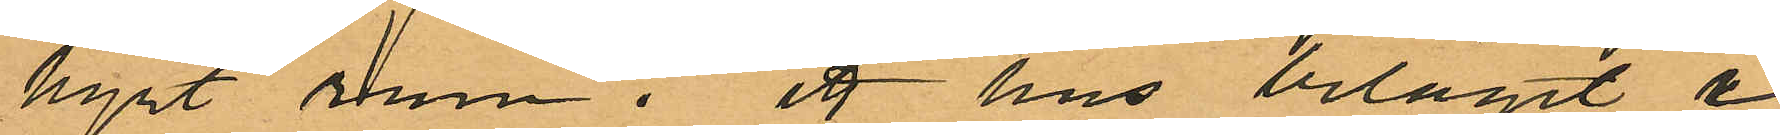hyrt rum i ett hus beläget i
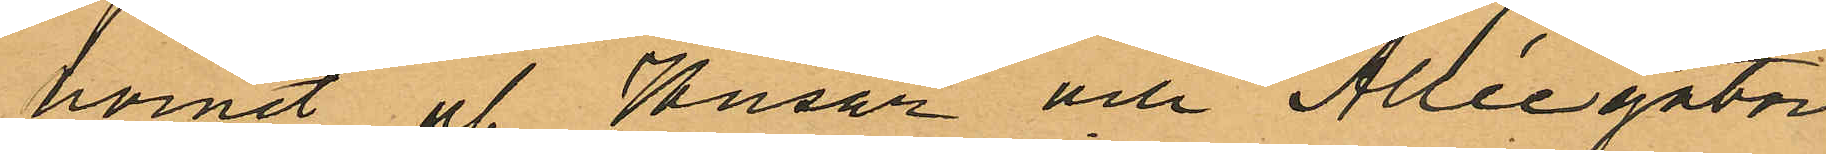hörnet af Husar och Alléegator¬
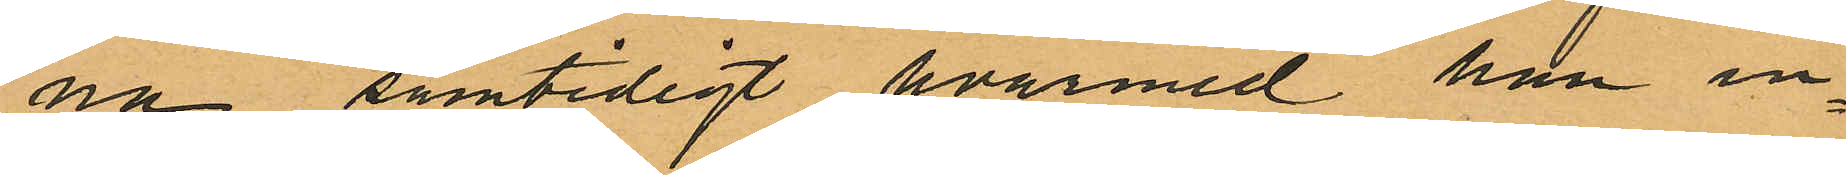na samtidigt hvarmed han in¬
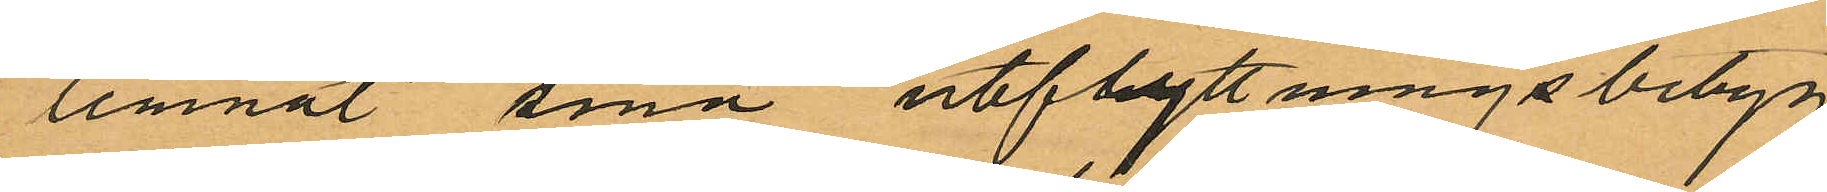lemnat sina utflyttningsbetyg
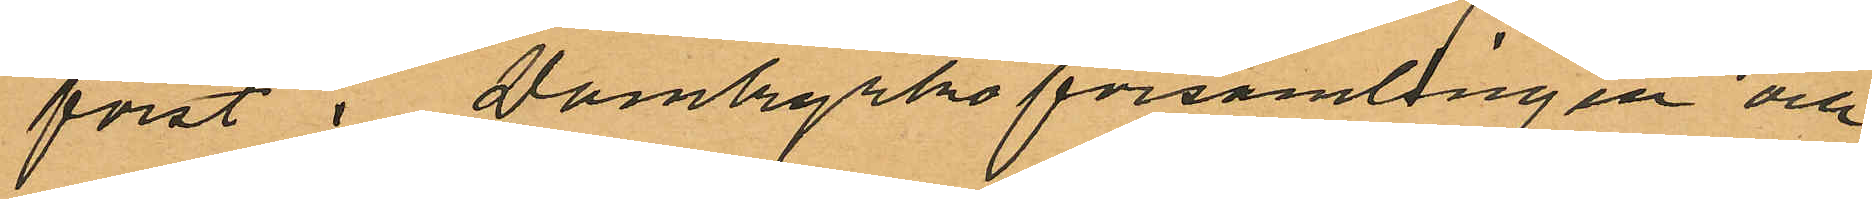först i Domkyrkoförsamlingen och
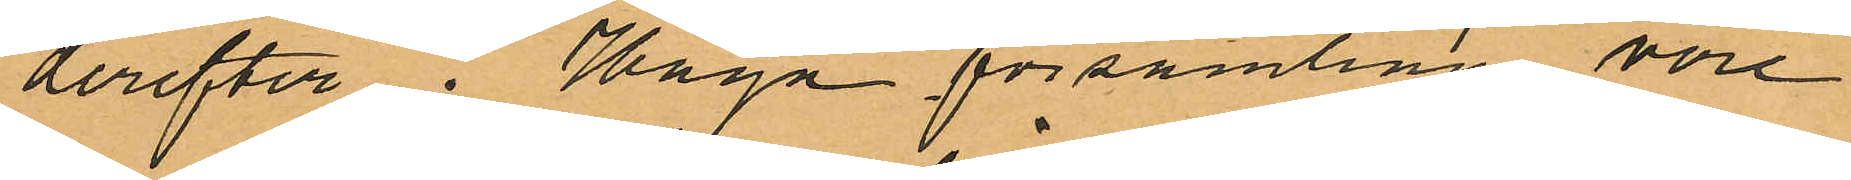derefter i Haga församling, vore
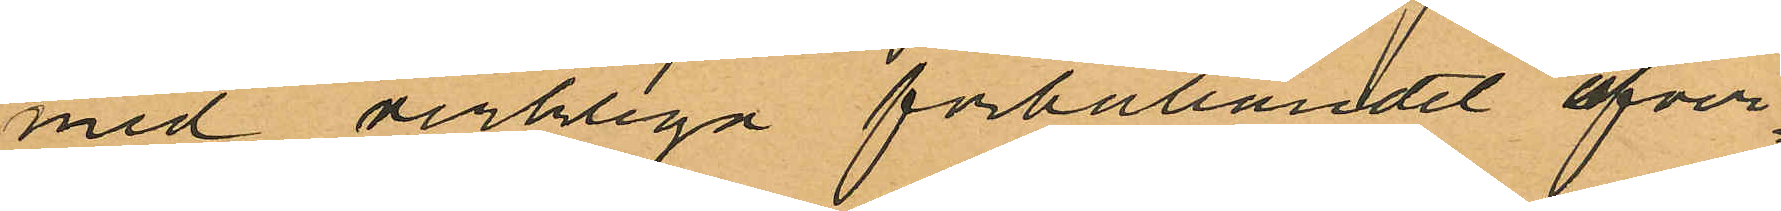med verkliga förhållandet öfver¬
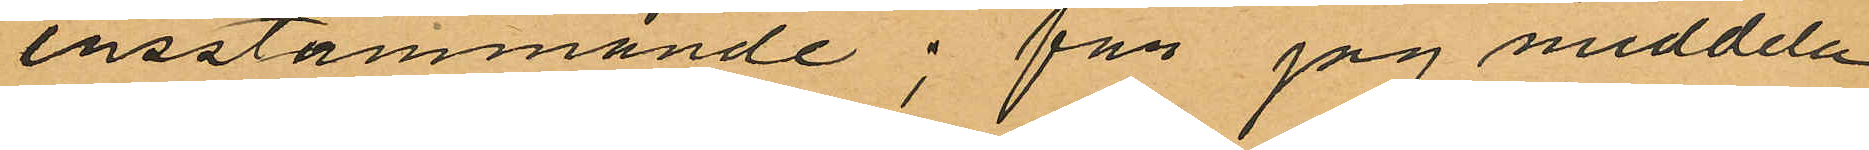ensstämmande; får jag meddela
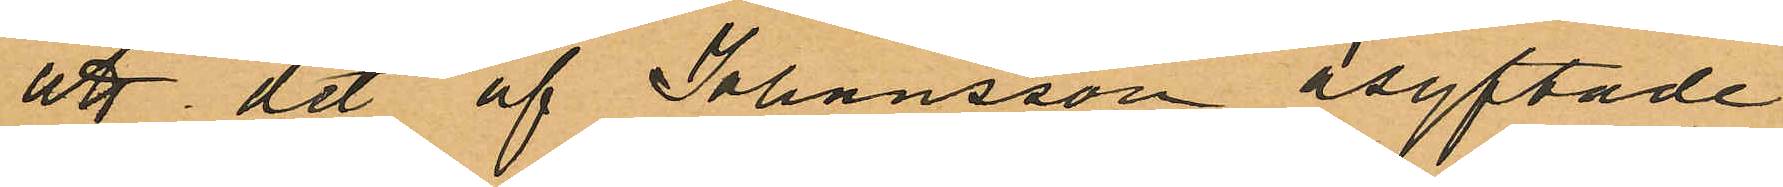att det af Johansson åsyftade
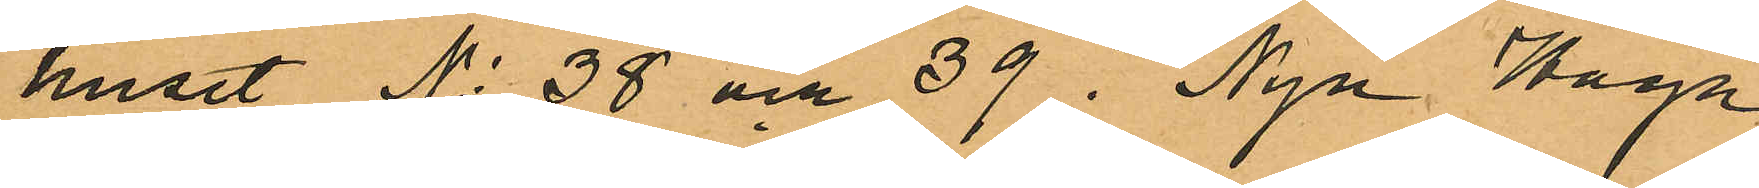huset No 38 och 39 i Nya Haga
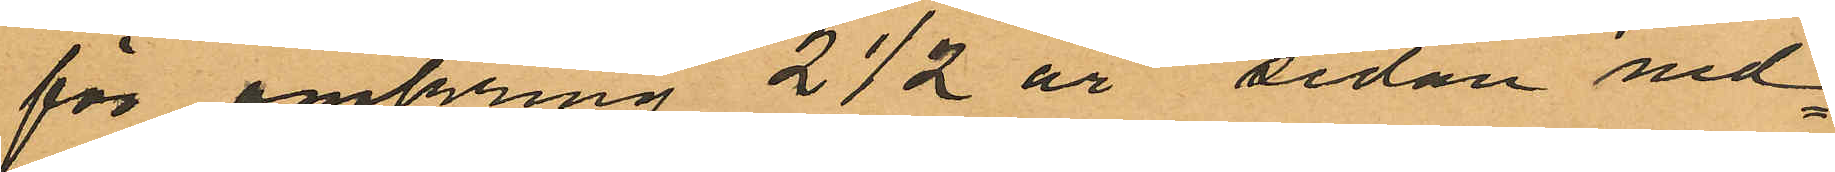för omkring 2½ år sedan ned¬
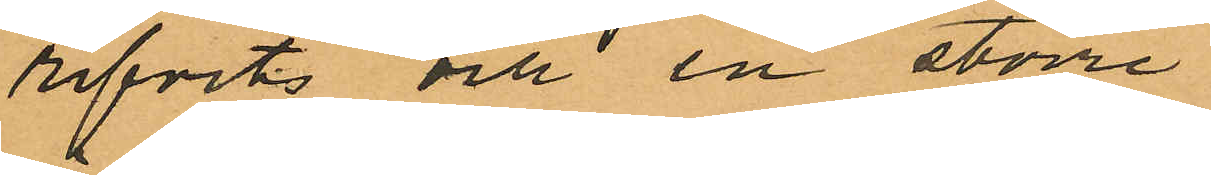rifvits och en större
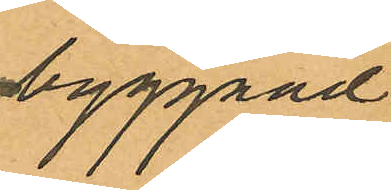byggnad
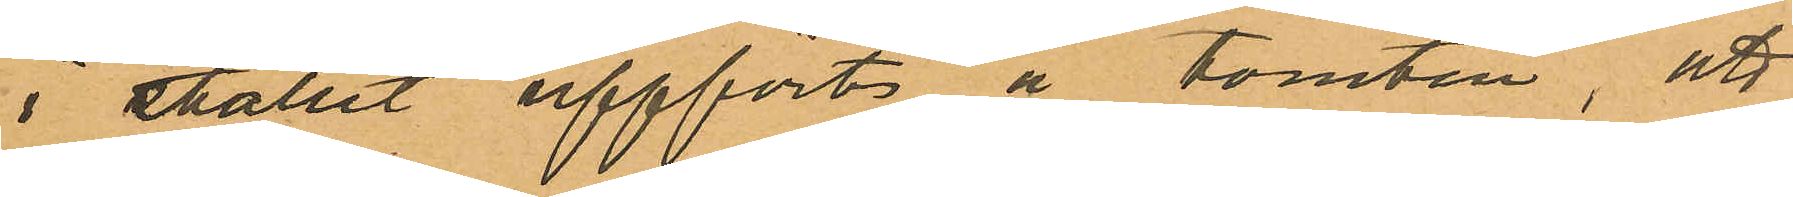i stället uppförts å tomten, att
